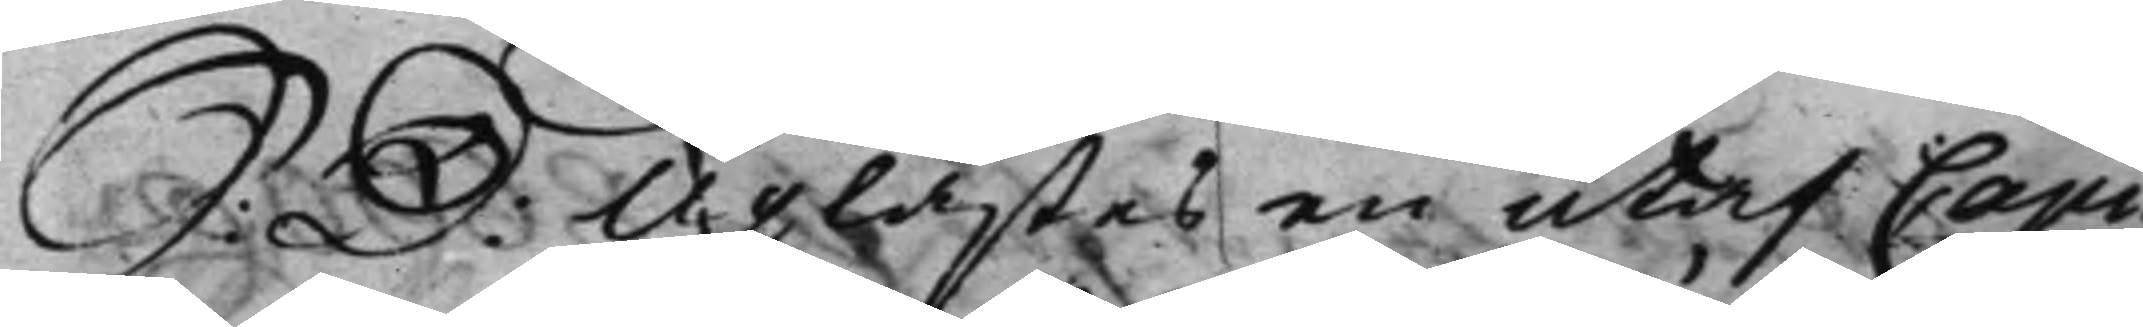S: D: Uplästes en utaf Capi¬
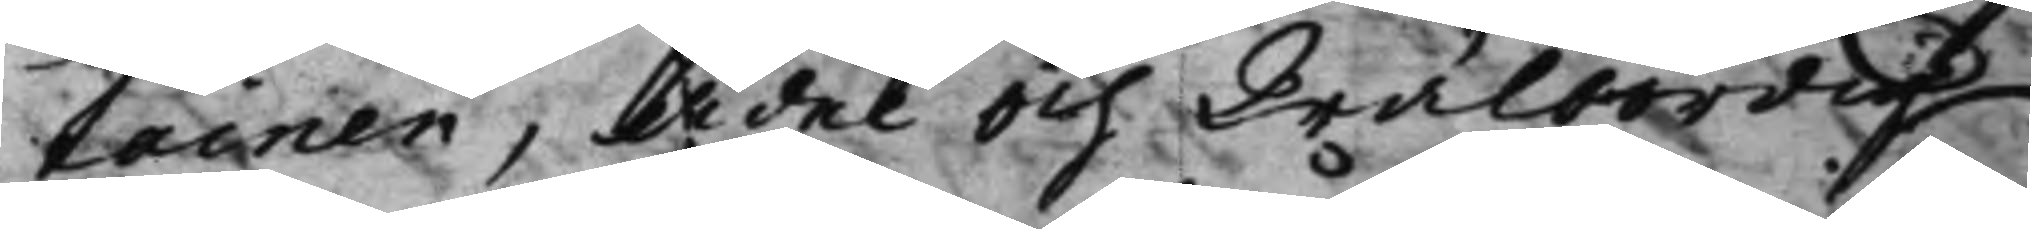tainen, Ädel och Wälbördig
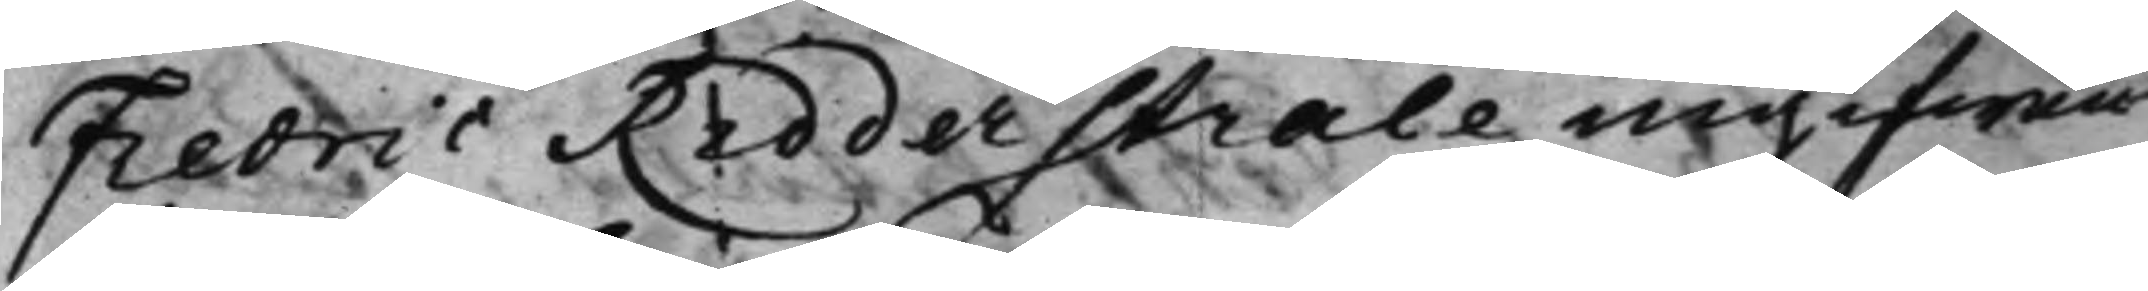Fredric Ridderstråle ingifwen
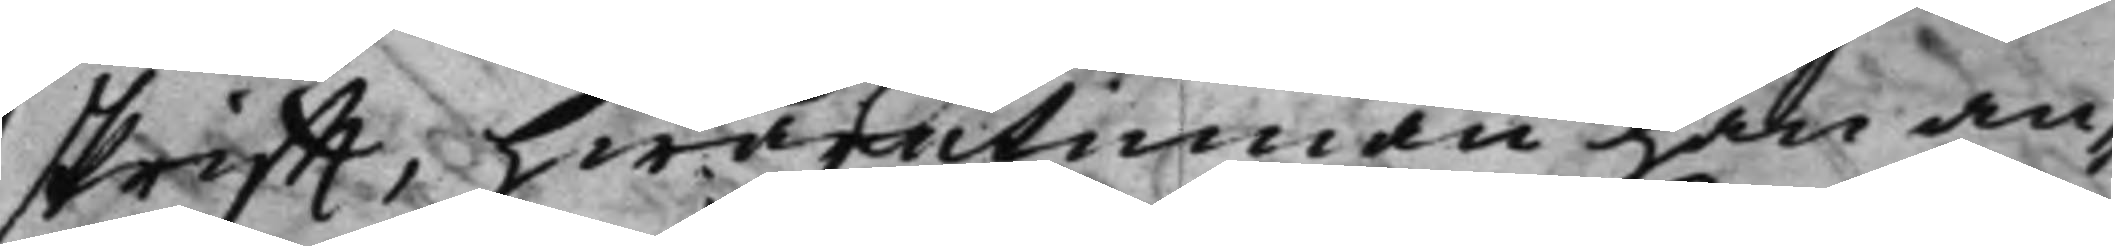skrifft, hwarutinnan han an¬
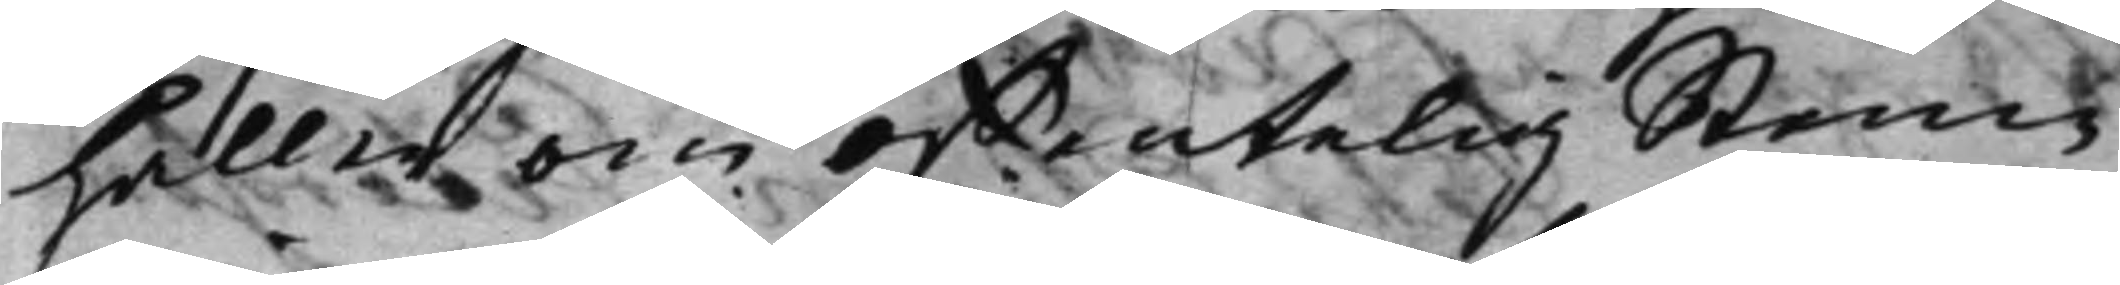håller om offentelig Stem¬
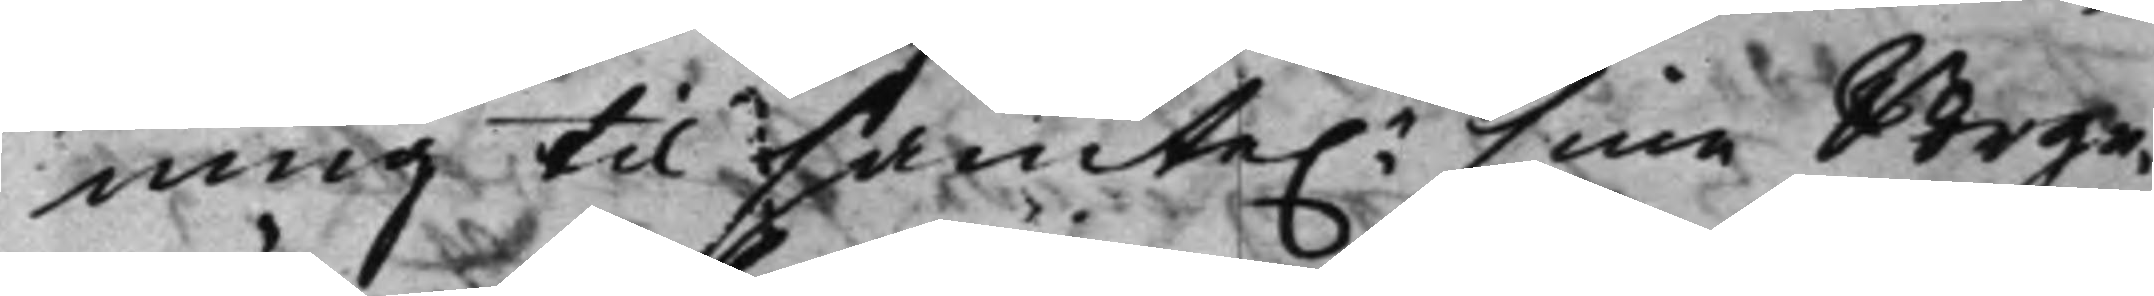ning til samte.e sine Borge¬
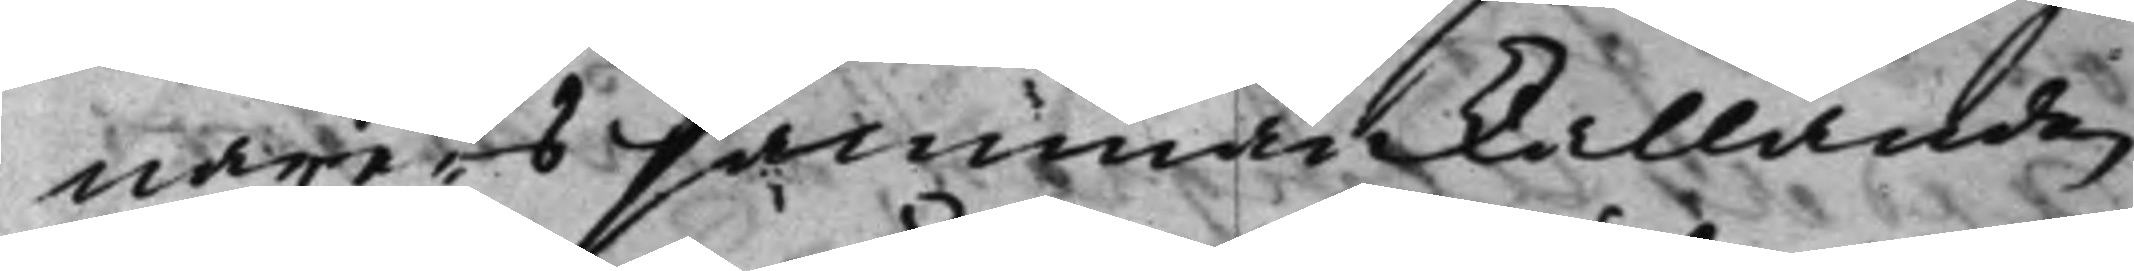närers sammankallande,
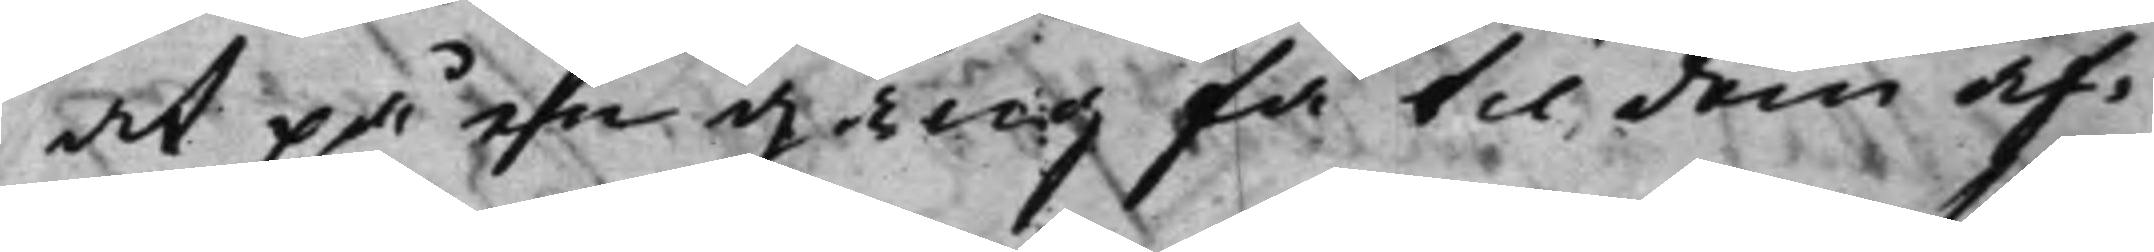at på en gång få til dem af¬
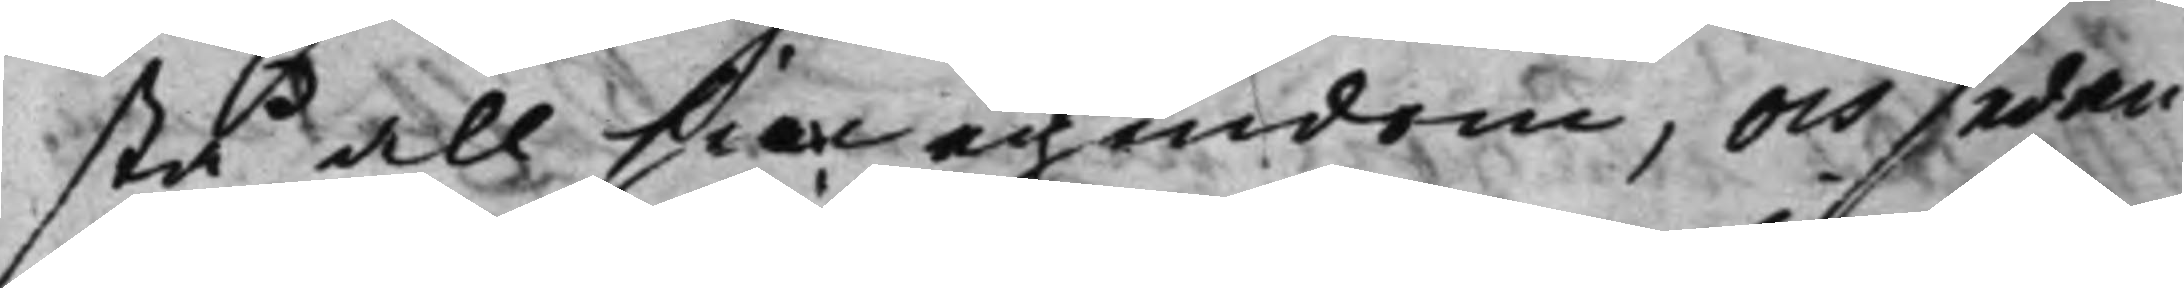stå all sin egendom, och sedan
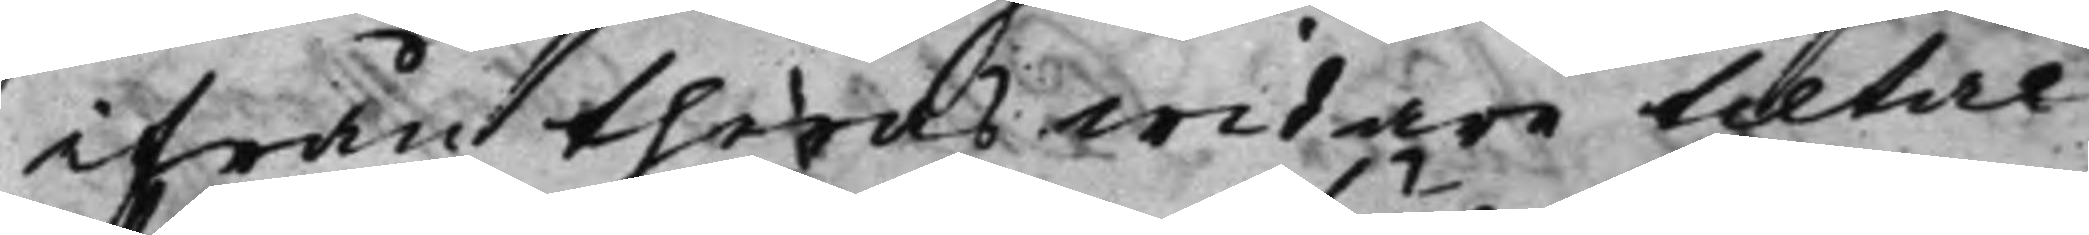ifrån theras widare tiltal
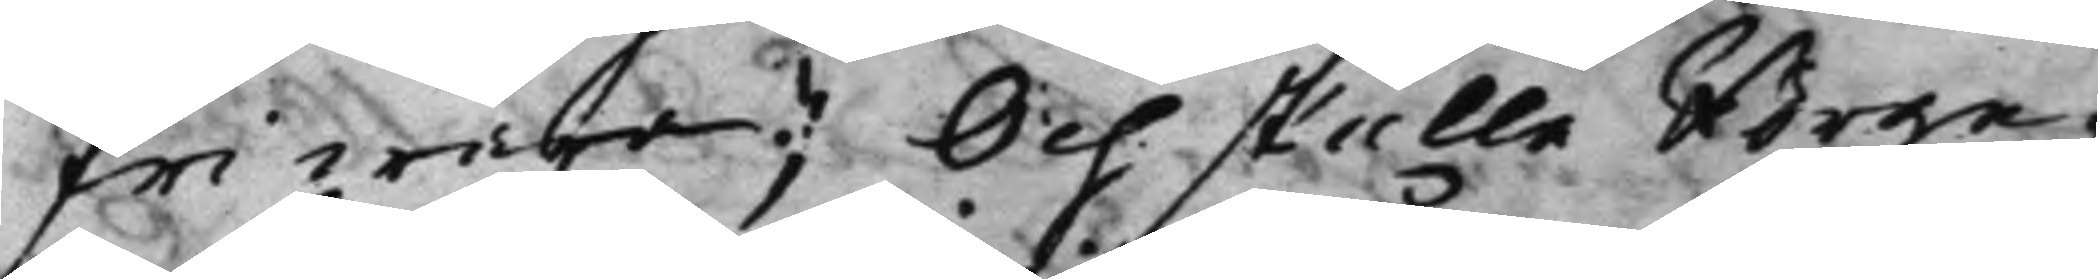fri wara; Och skulle Borge¬
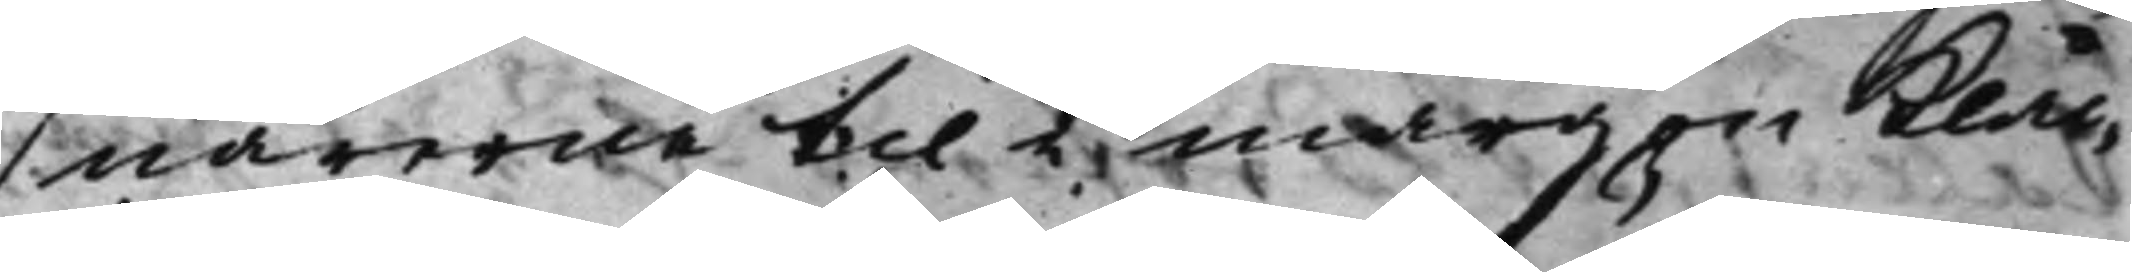närerne til i mårgon Klåc¬
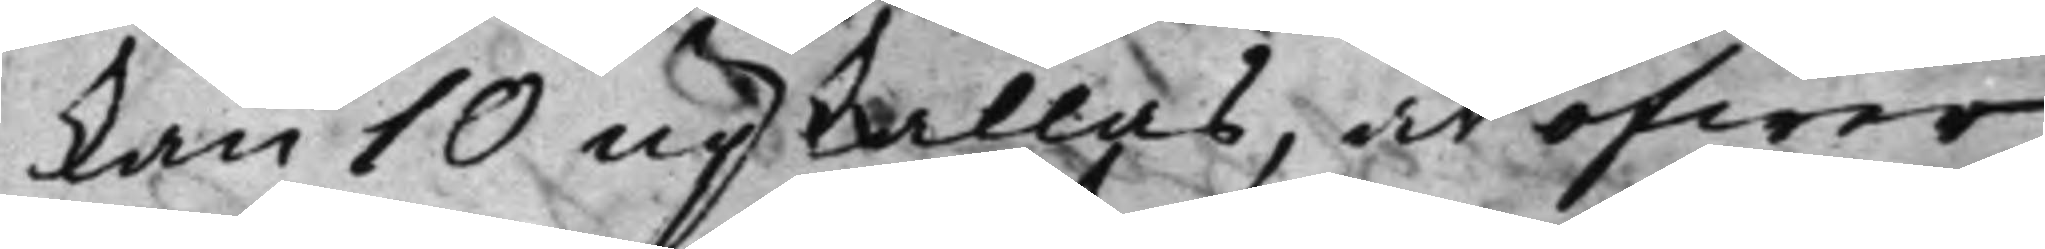kan 10 upkallas, at öfwer
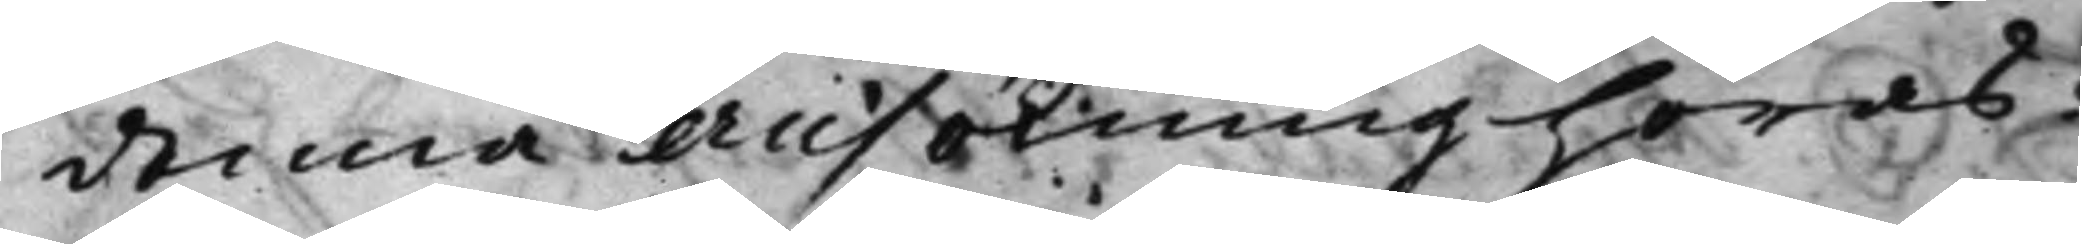denna Ansökning höras:
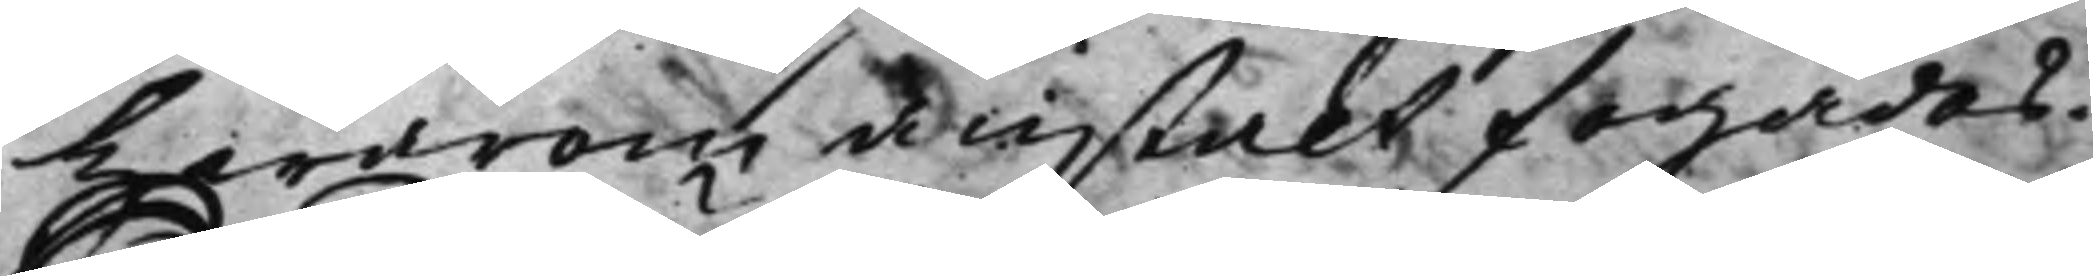Hwarom anstalt fogades.
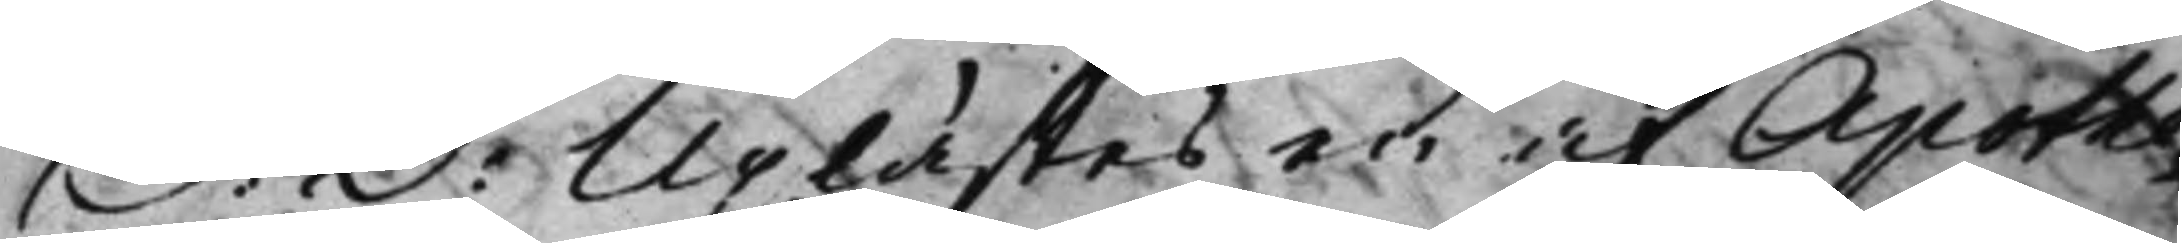S: D: Uplästes en af Apothe¬
